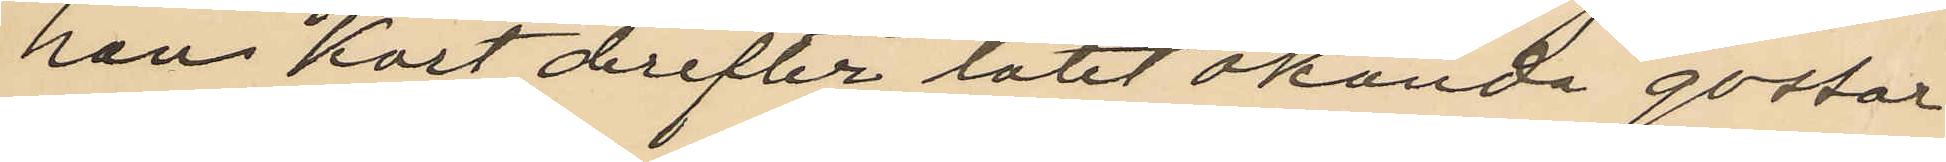han kort derefter låtit okända gossar
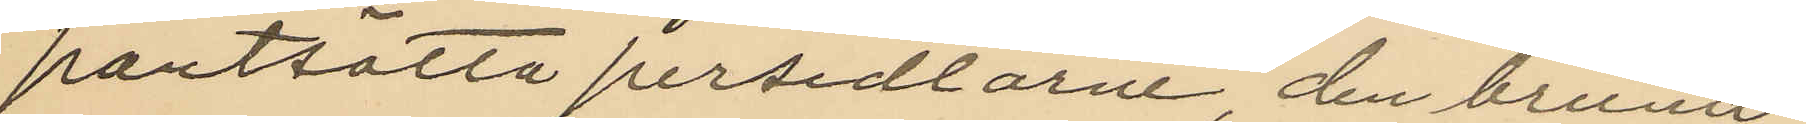pantsatta persedlarne, den bruna
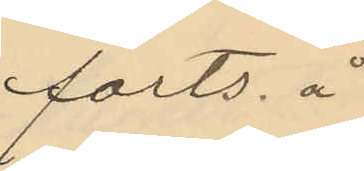forts. å
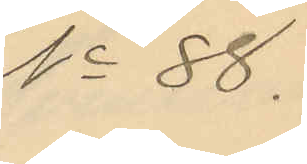No 88.
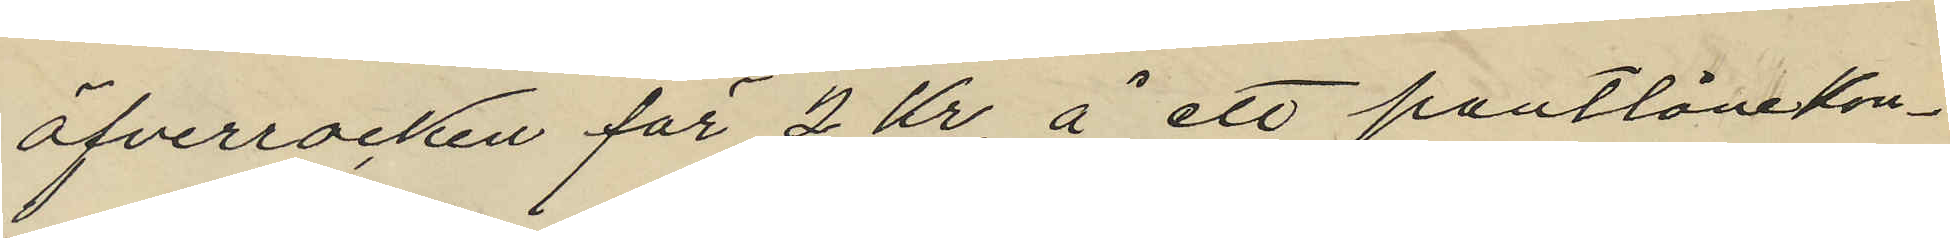öfverrocken för 2 Kr. å ett pantlånekon¬
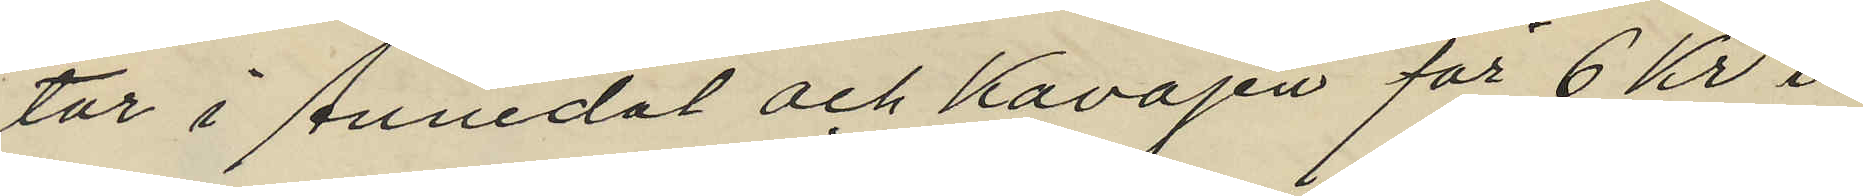tor i Annedal och kavajen för 6 Kr i
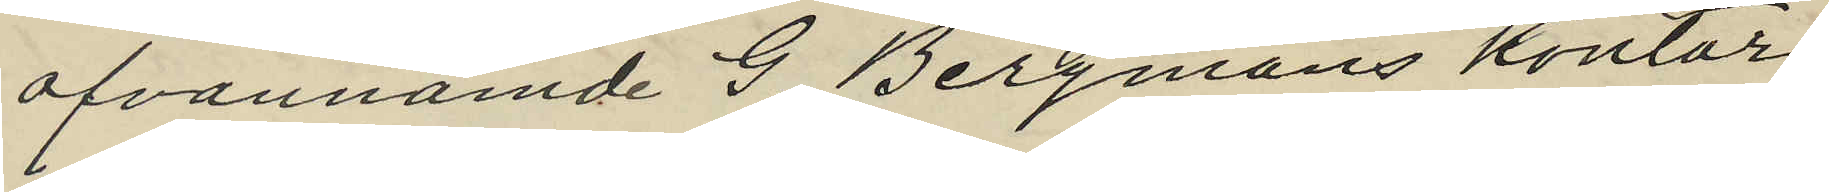ofvannämde G. Bergmans kontor
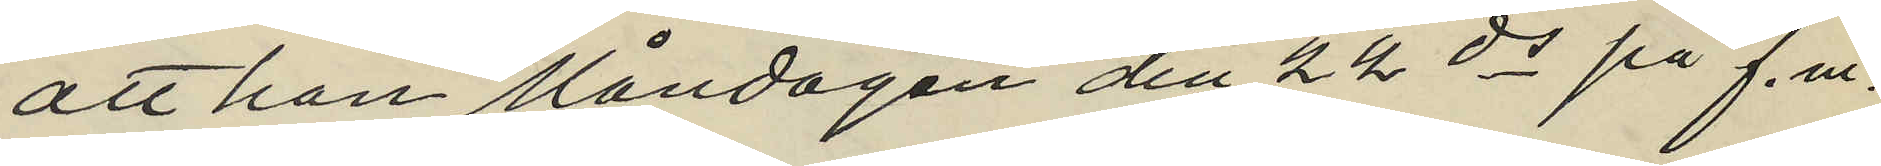att han Måndagen den 22 ds på f.m.
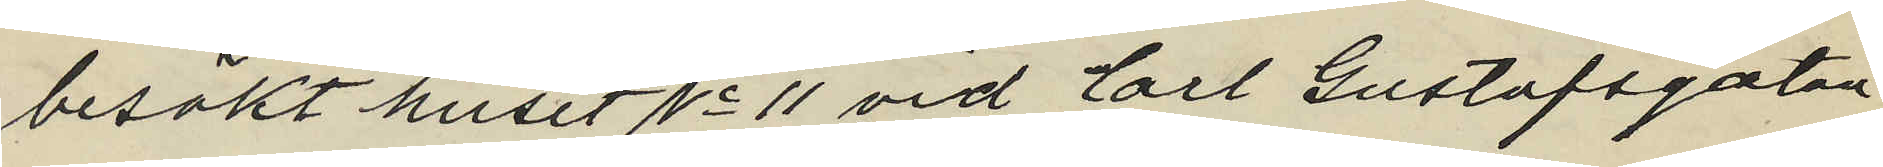besökt huset No 11 vid Carl Gustafsgatan
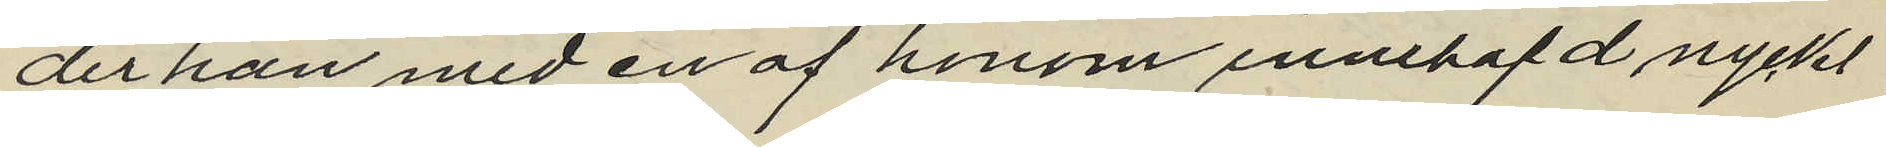der han med en af honom innehafd nyckel
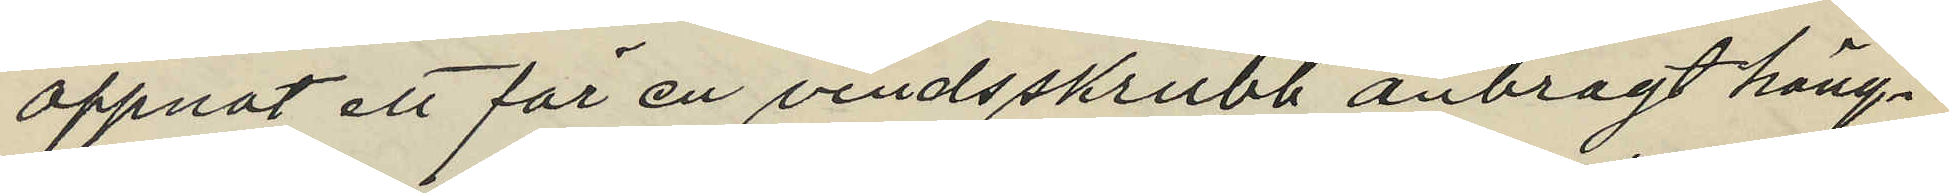öppnat ett för en vindsskrubb anbragt häng¬
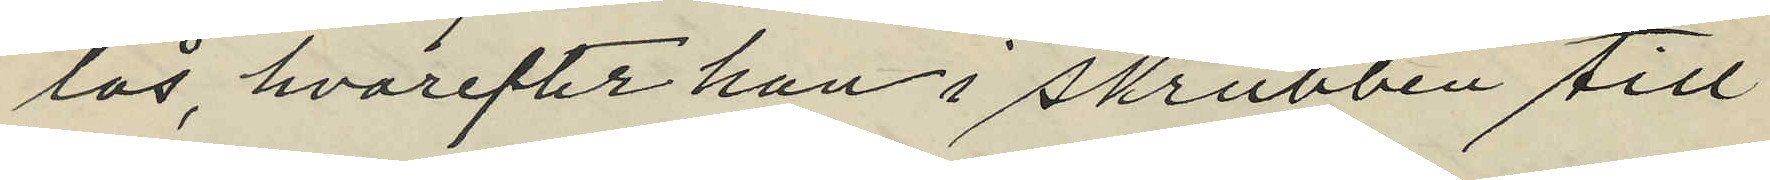lås, hvarefter han i skrubben till¬
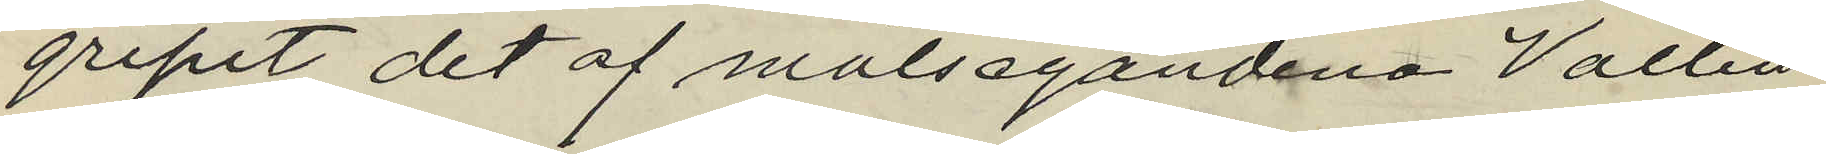gripit det af målsegandena Vallin
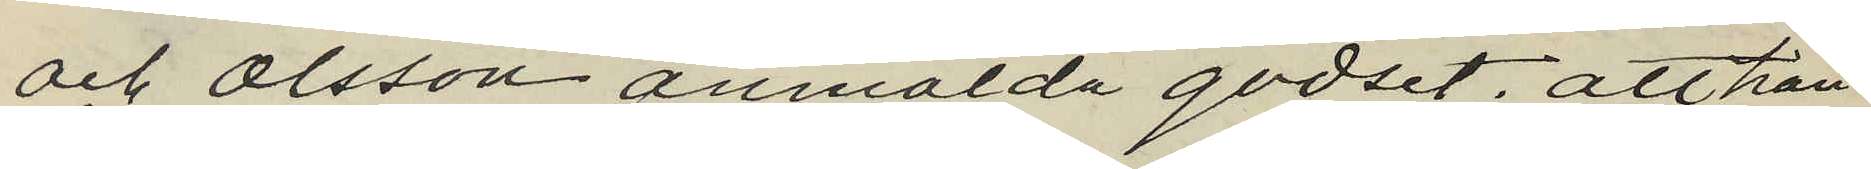och Olsson anmälda godset, att han
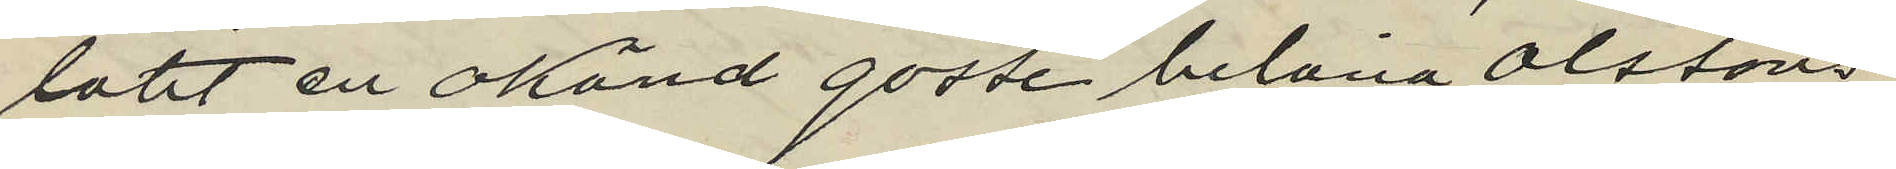låtit en okänd gosse belåna Olssons
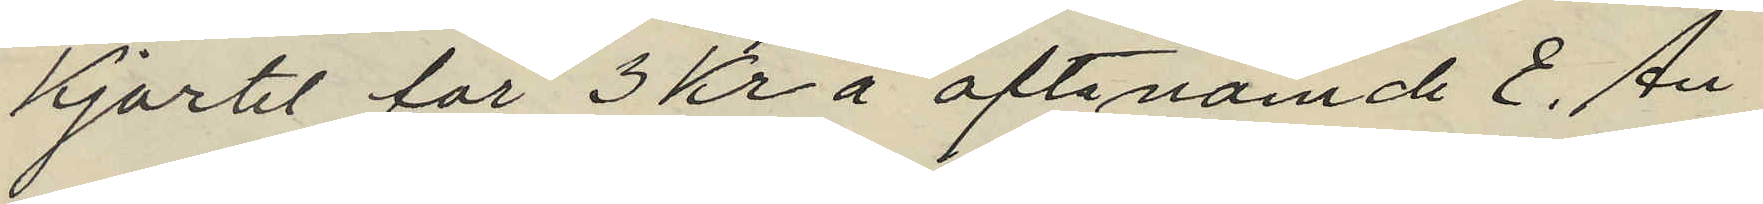kjortel för 3 Kr å oftanämde E. An¬
